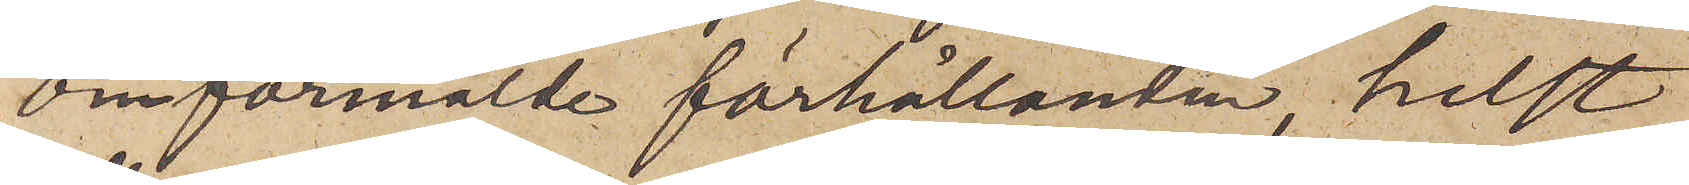omförmälde förhållanden, helst
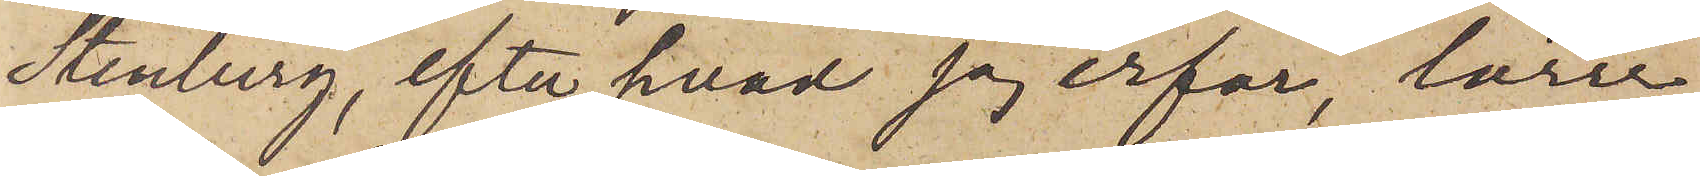Stenberg, efter hvad jag erfar, lärer
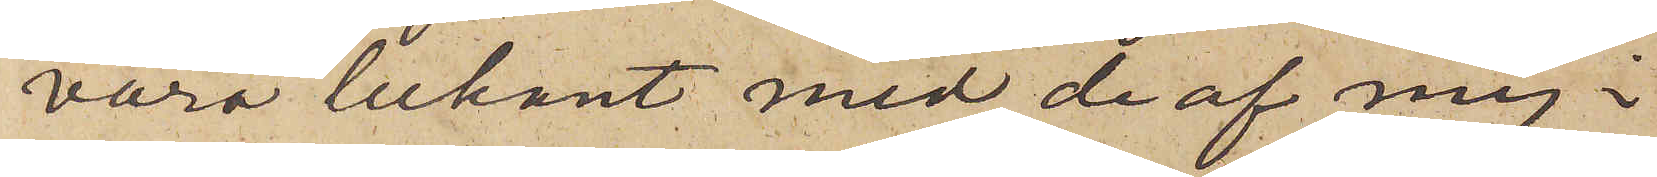vara bekant med de af mig i
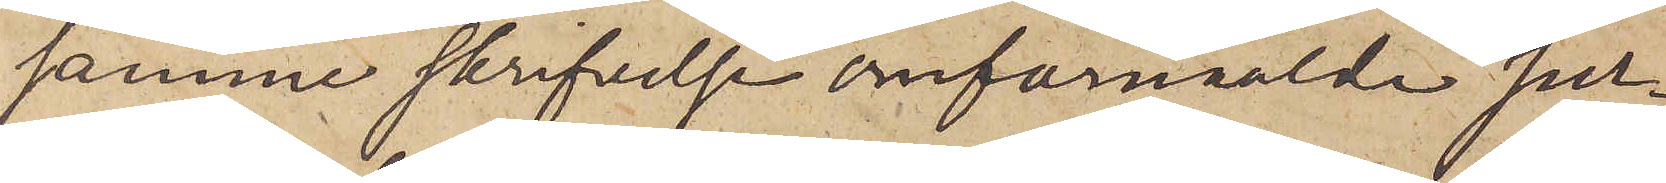samme skrifvelse omförmälde per¬
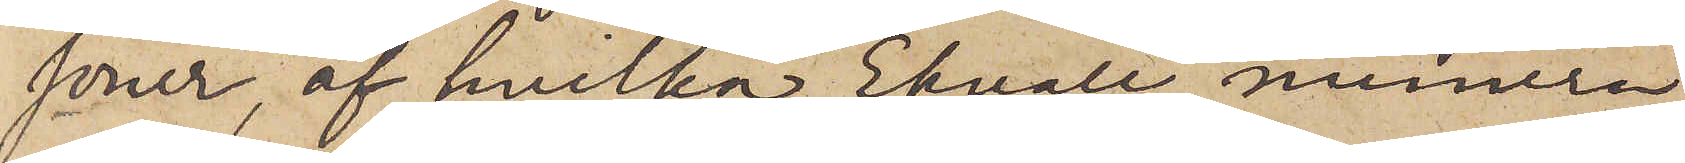soner, af hvilka Ekvall numera
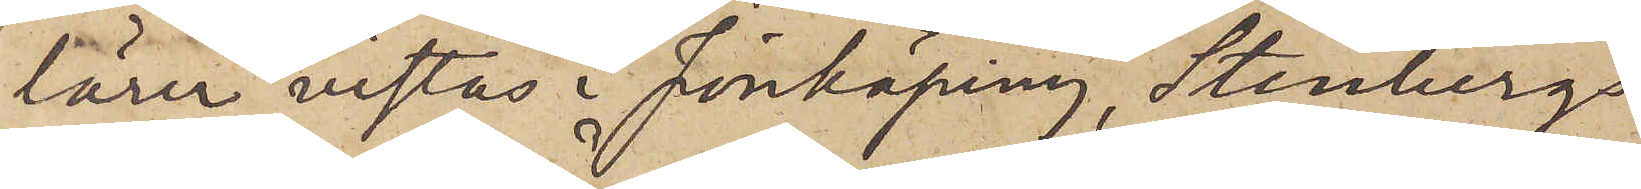lärer vistas i Jönköping, Stenbergs
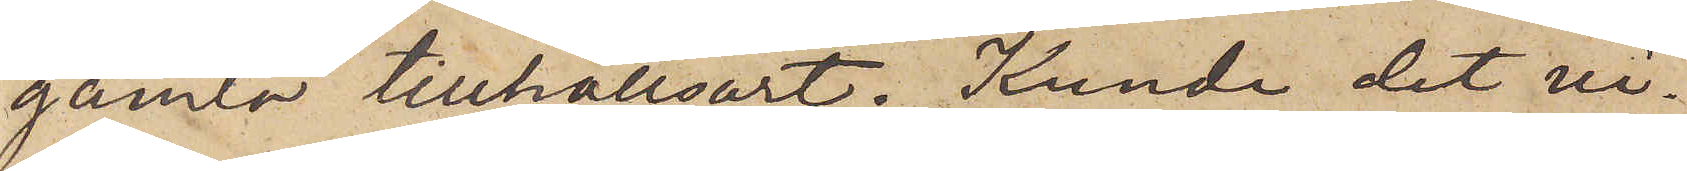gamla tillhållsort. Kunde det vi¬
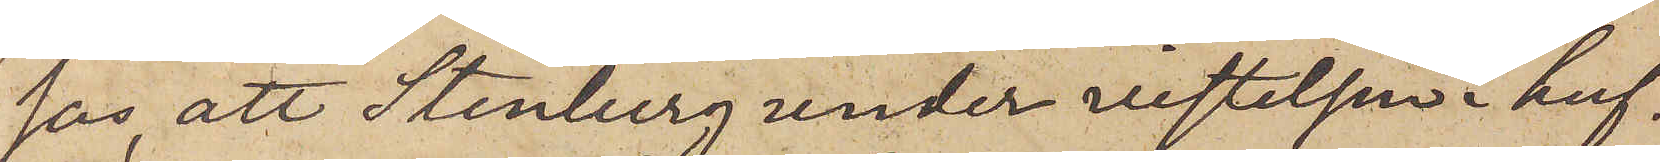sas att Stenberg under vistelse i huf¬
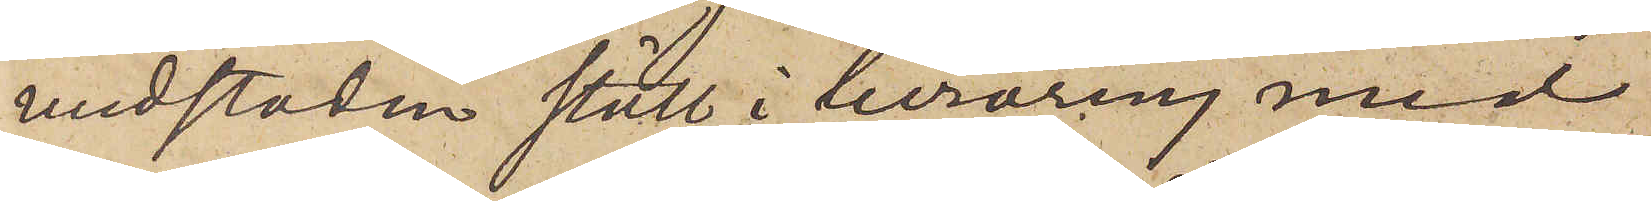udstaden stått i beröring med
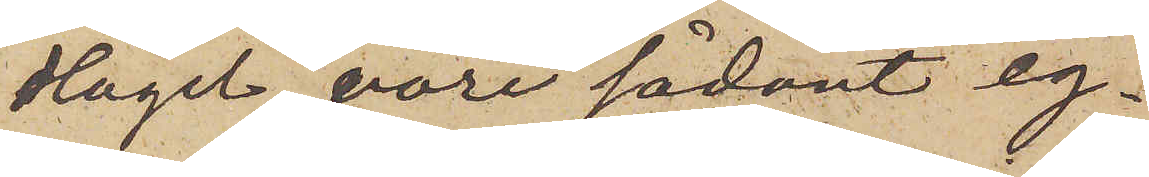Hägel, vore sådant eg¬
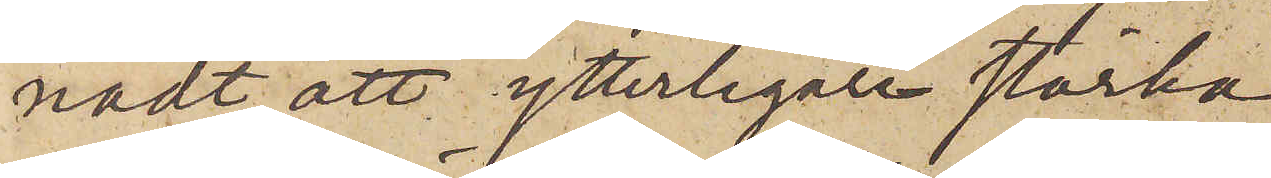nadt att ytterligare stärka
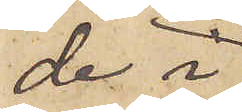de i
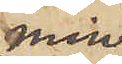min
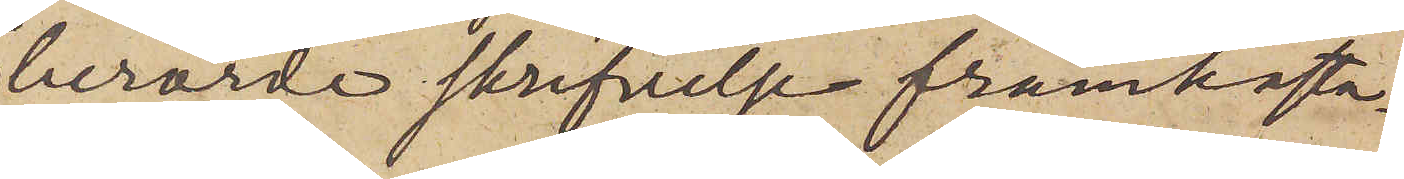berörde skrifvelse framkasta¬
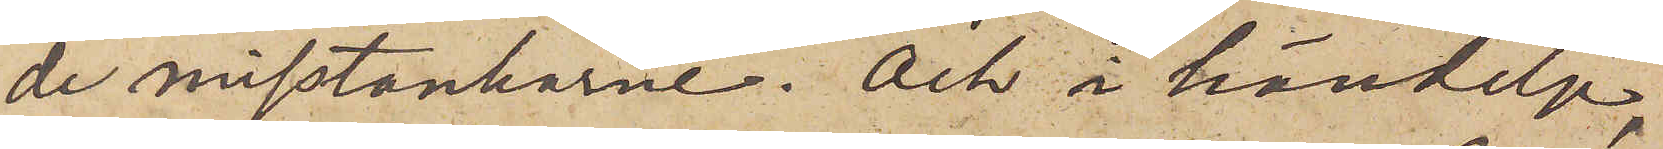de misstankarne. Och i händelse,
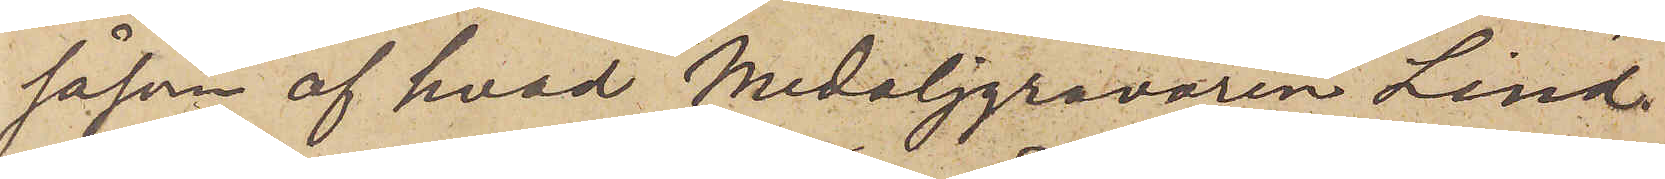såsom af hvad medaljgravören Lind¬
